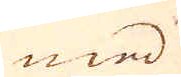med
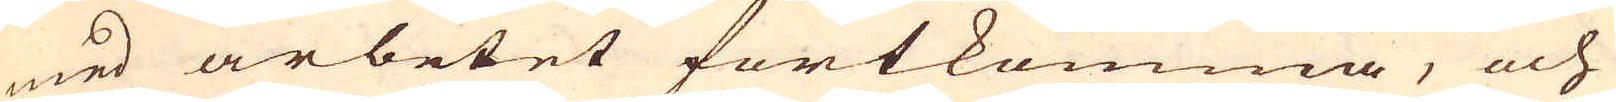med arbetet fortkomma, och
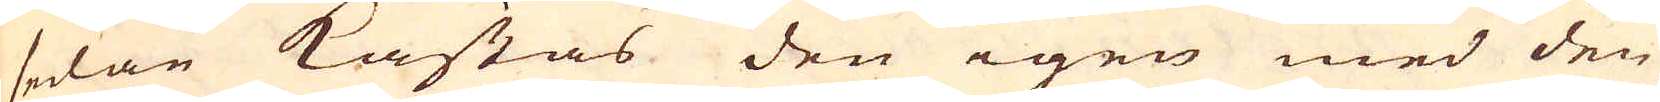sedan kastas den igen med den
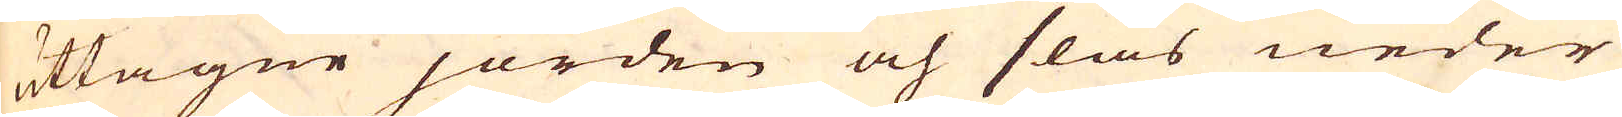uttagne jorden och slås neder
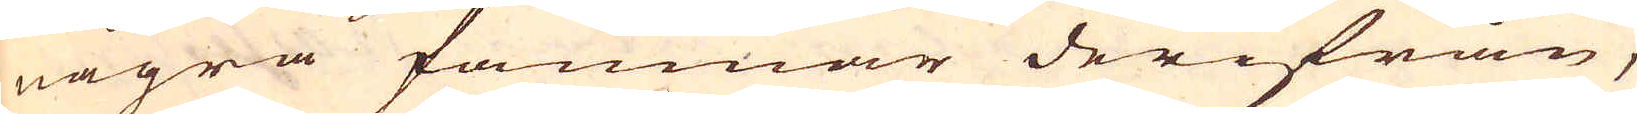några famnar derifrån,
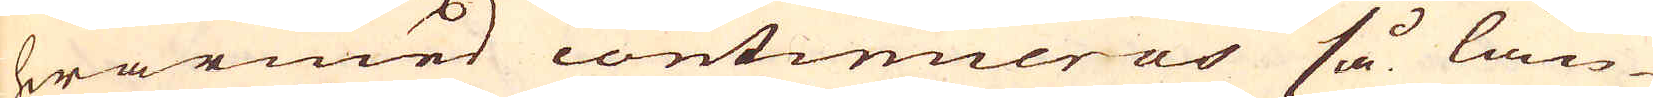hwarmed continueras så län-
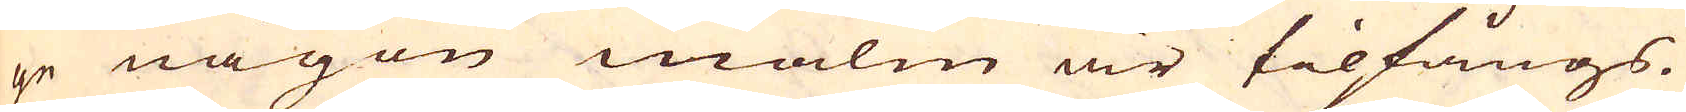ge någon malm är tilfångs.
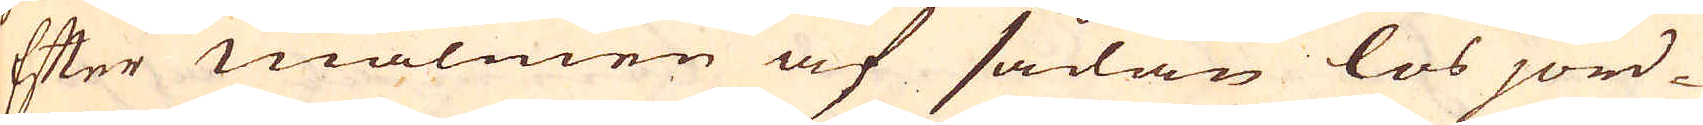Efter malmen af sådan lös jord-
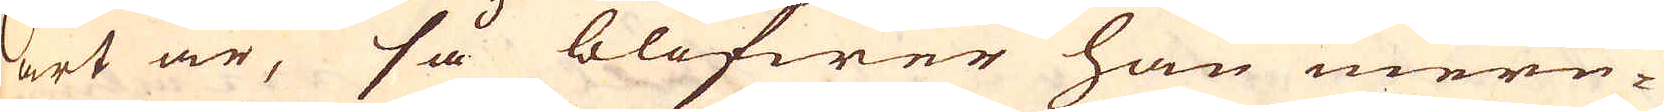art är, så blifwer han mere-
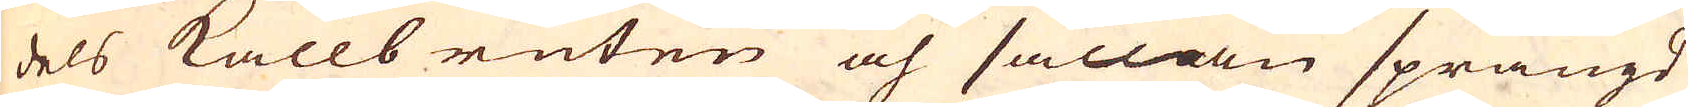dels kalls ruten och sällan sprängd
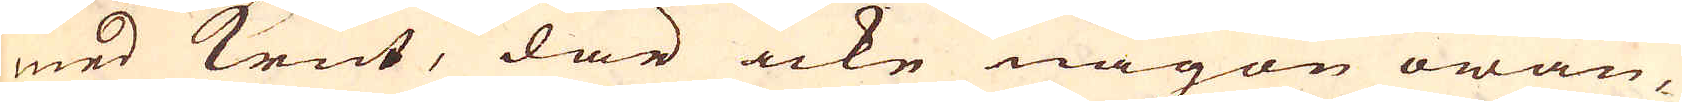med krut, där icke någon owan-
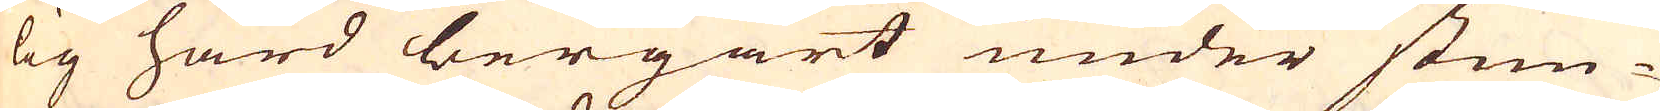lig hård bergart under stun-
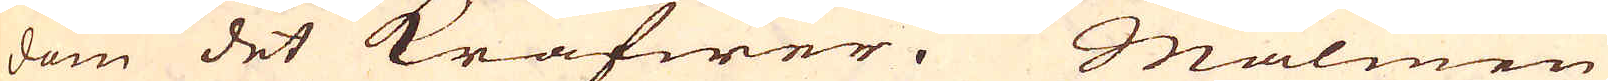dom det kräfwer. Malmen
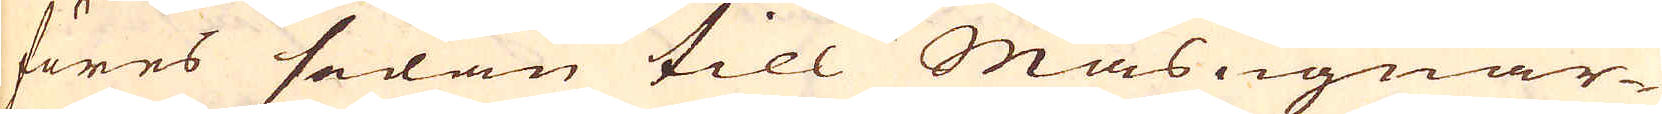föres sedan till Masugnar-
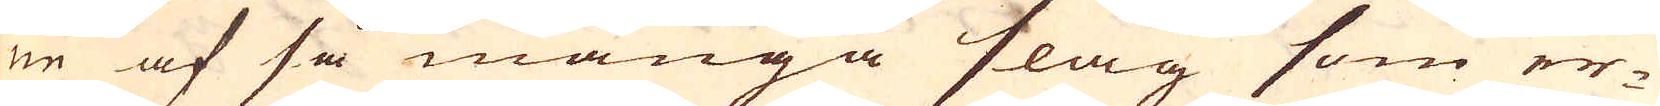ne af så många slag som er-
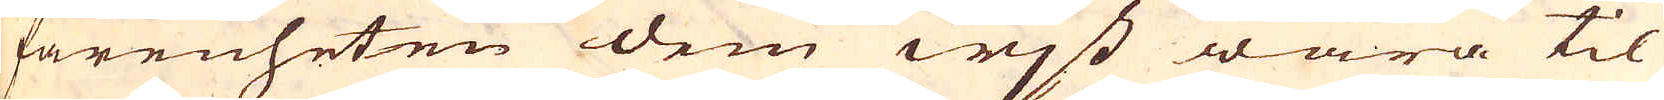farenheten dem wjst wara til
